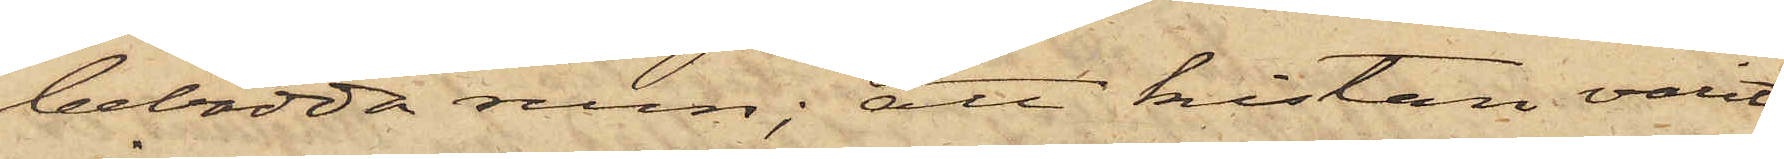bebodda rum; att kistan varit
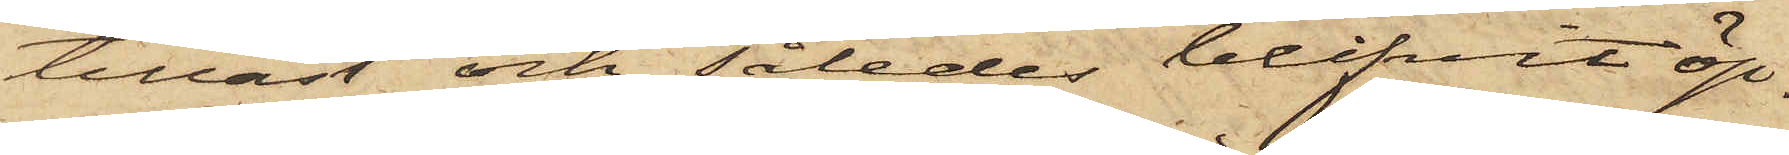tillåst och således blifvit öp¬
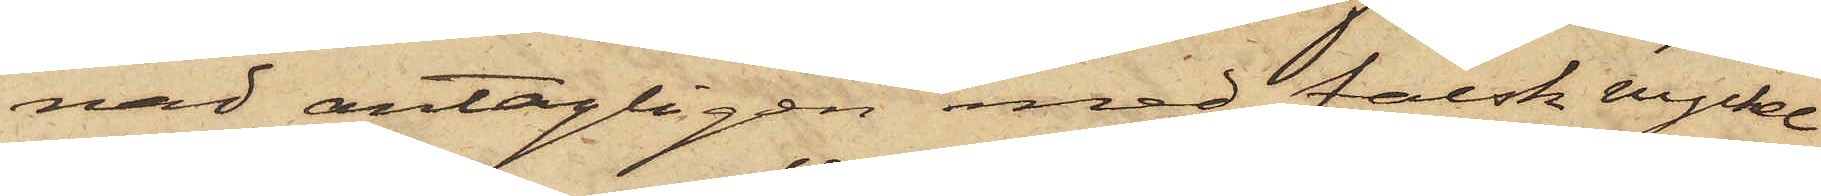nad antagligen med falsk nyckel
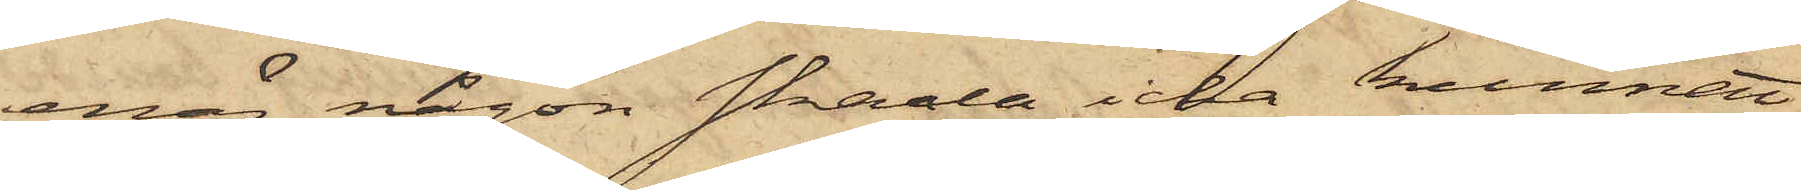enär någon skada icke kunnat
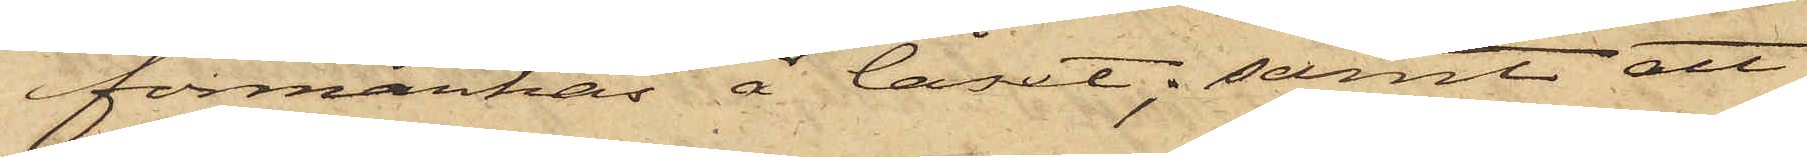förmärkas å låset; samt att
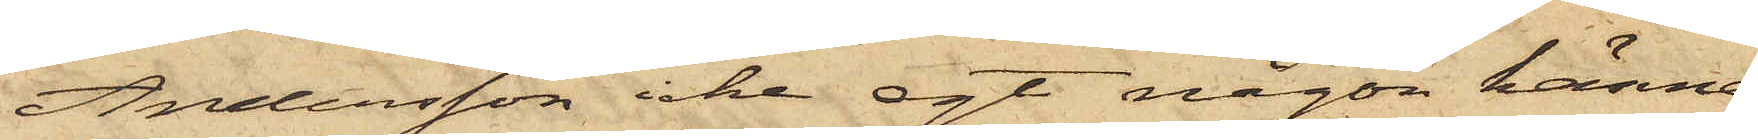Andersson icke egt någon känne¬
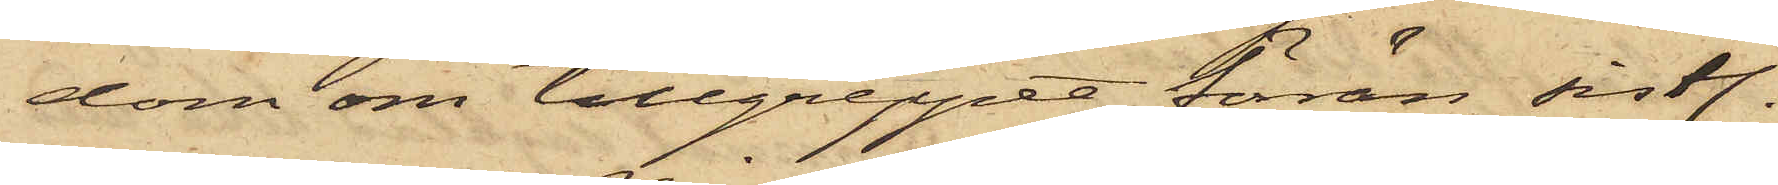dom om tillgreppet förrän sistl.
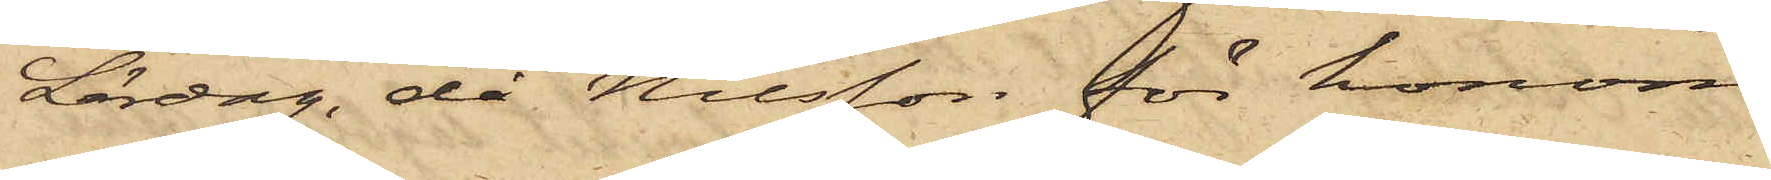Lördag, då Nilsson för honom
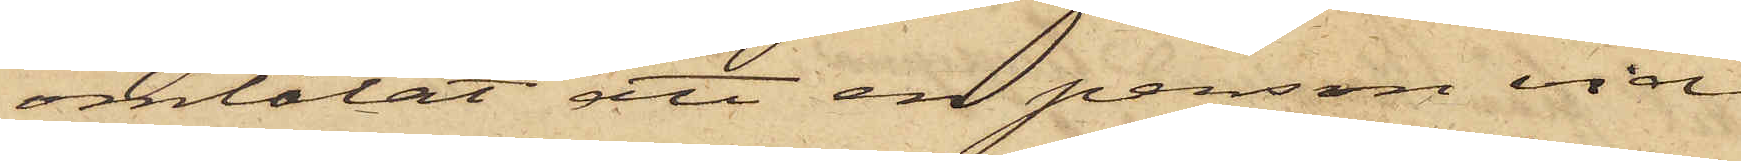omtalat att en person vid
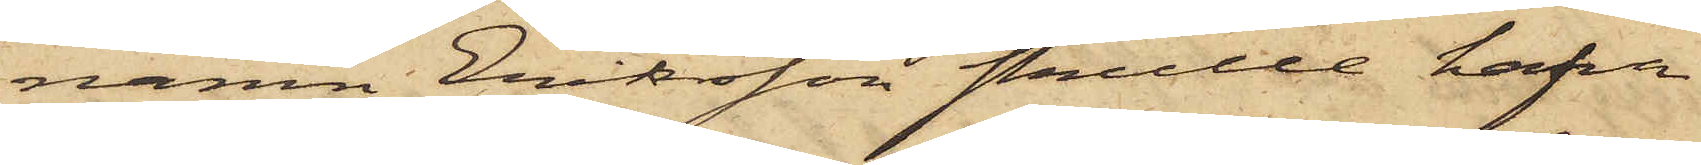namn Eriksson skulle hafva
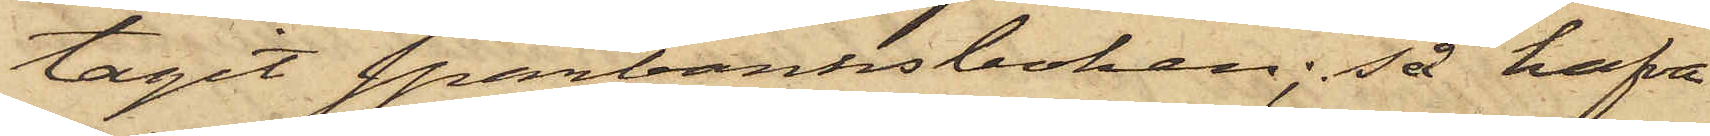tagit Sparbanksboken; så hafva
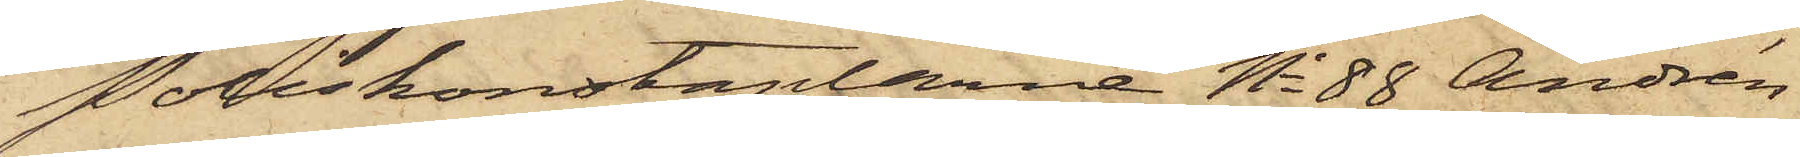Poliskonstaplarne No 88 Andrén
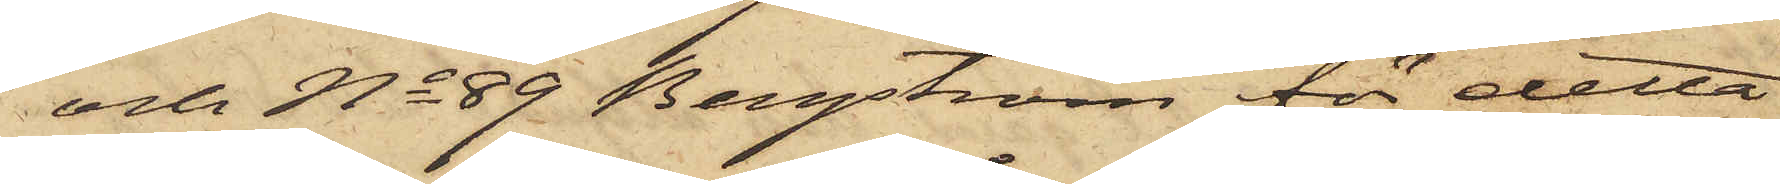och No 89 Bergström för detta
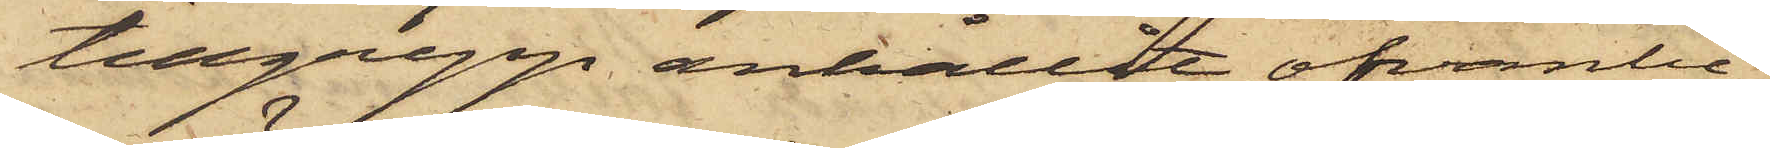tillgrepp anhållit ofvanbe¬
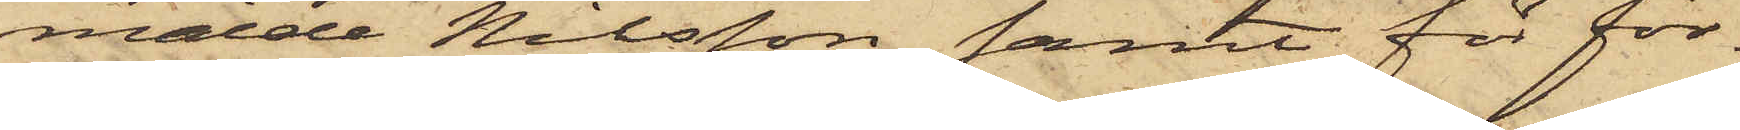mälde Nilsson samt för för¬
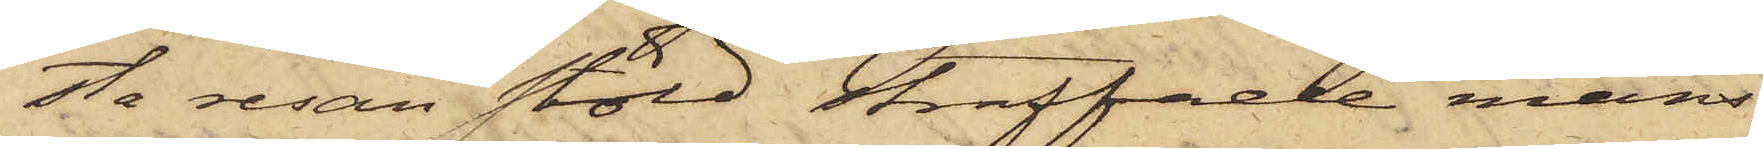sta resan stöld straffade mans¬
